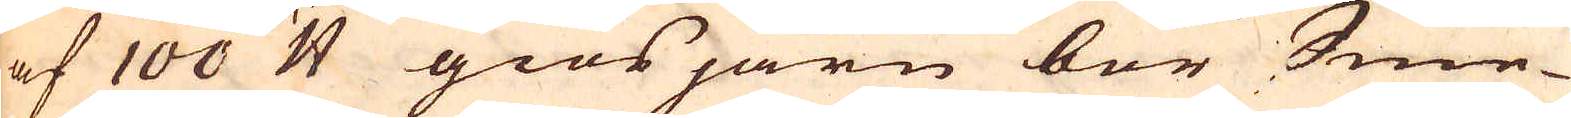af 100 skålpund giösjärn bör Sme-
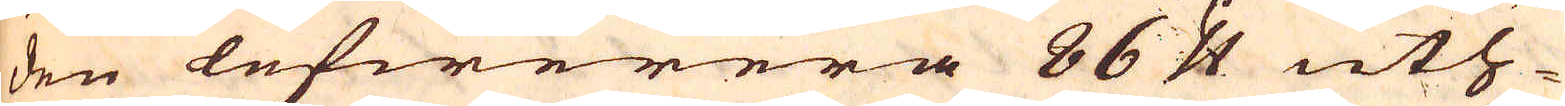den lefwerera 86 skålpund uth-
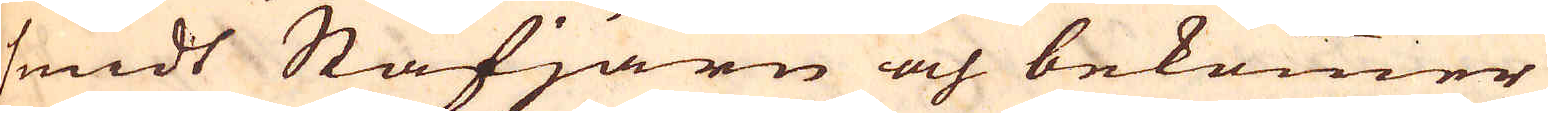smidt Stafjärn och bekommer
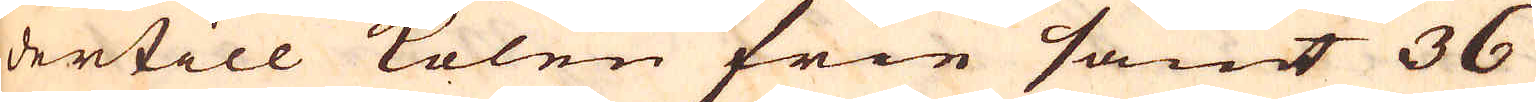dertill kolen frie samt 36
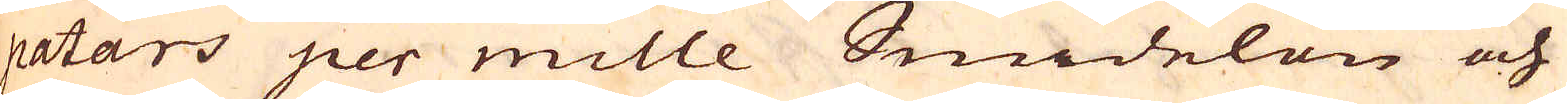patars per mille Smidelön och
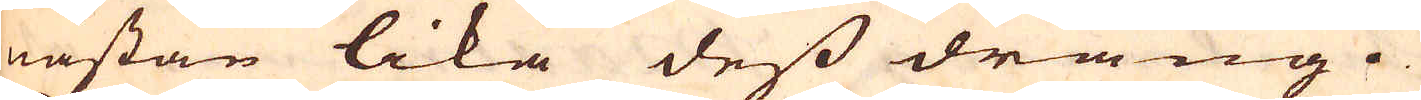nästan lika dess dräng.
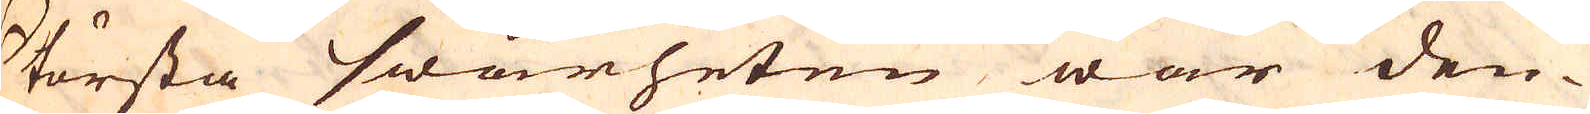Största swårheten war den-
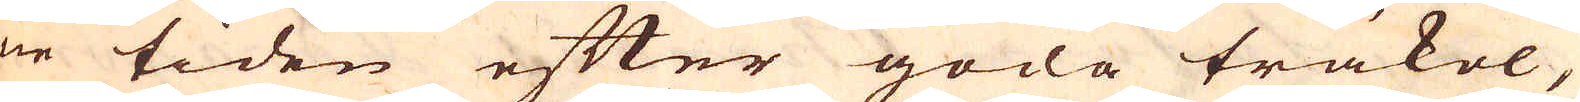ne tiden efter goda träkol,
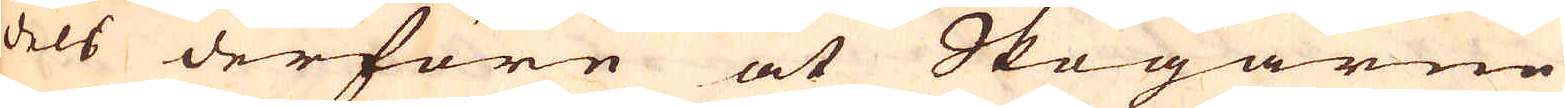dels derföre at Skogarne
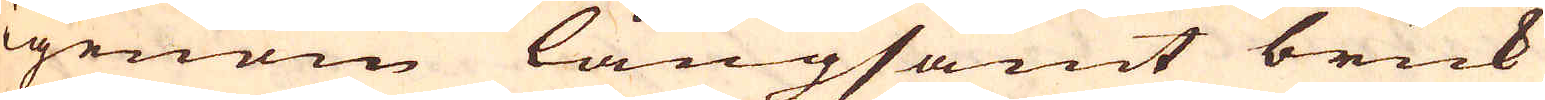igenom långsamt bruk
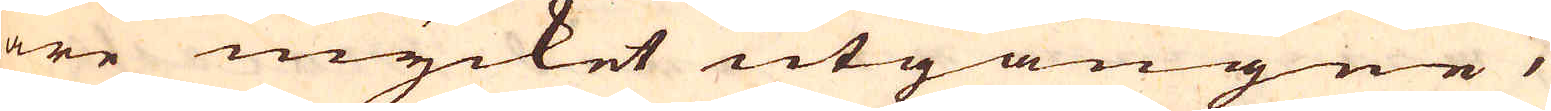äre mycket utgångne,
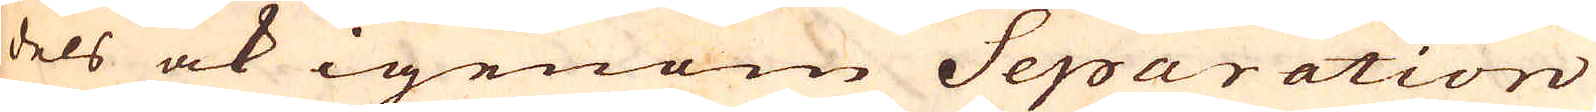dels ock igenom Separation
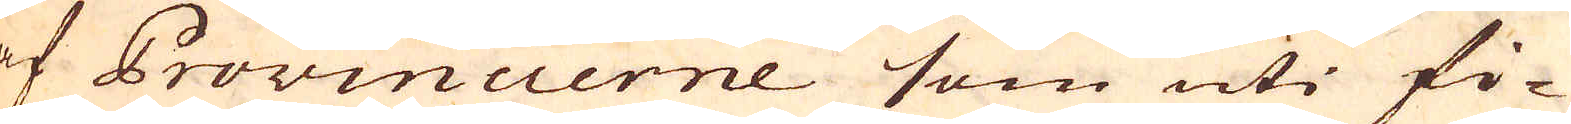af Provincierne som uti fi-
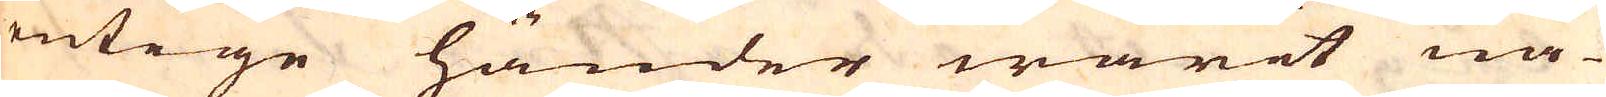entige händer warit nå-
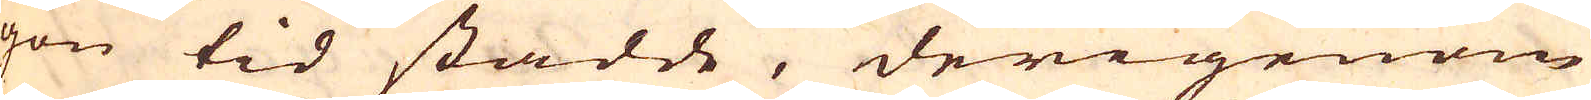gon tid stadde, derigenom
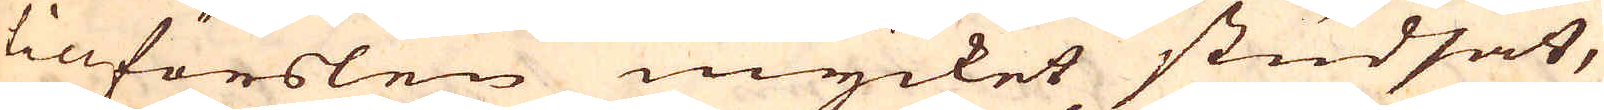tillförslen mycket studsat,
